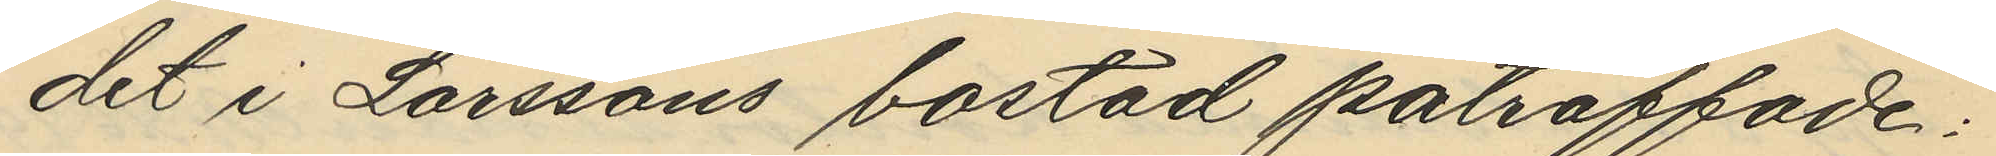det i Larssons bostad påträffade:
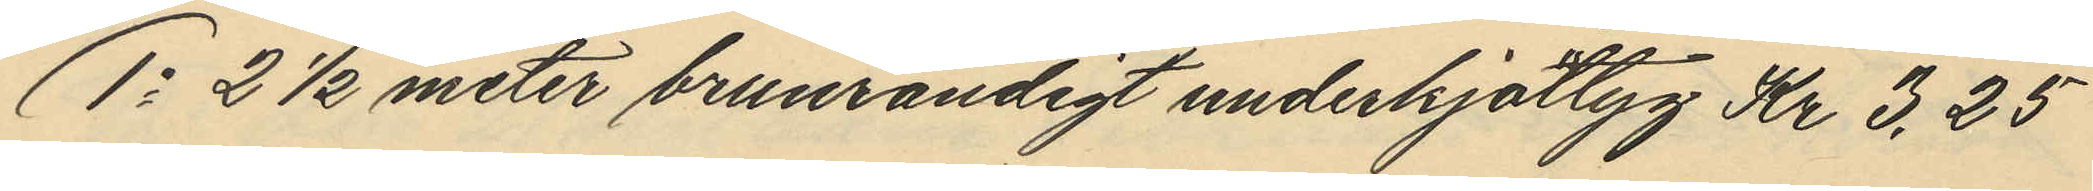1o 2 1/2 meter brunrandigt underkjottyg Kr 3,25
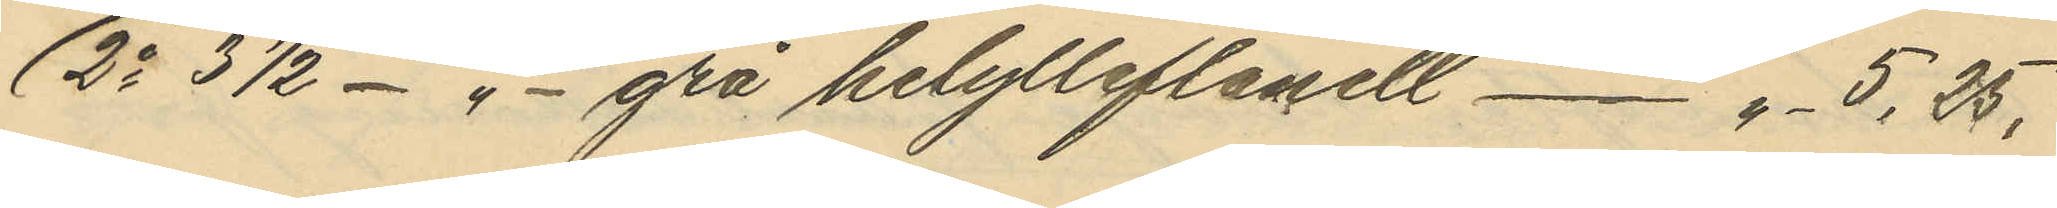2o 3 1/2 - " - grå helylleflanell - " - 5,35.
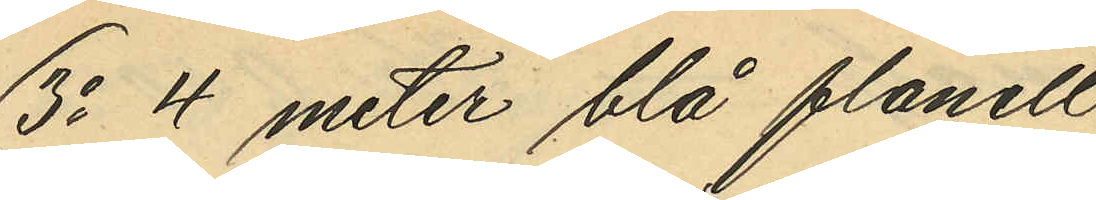3o 4 meter blå flanell
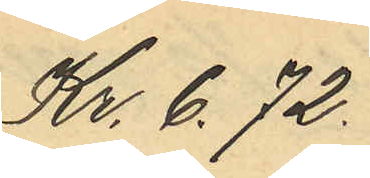Kr. 6.72.
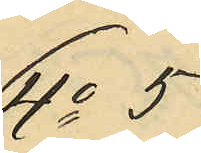4o 5
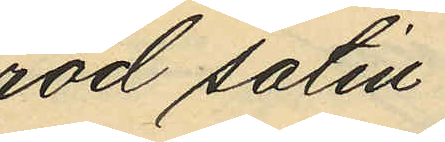röd satin
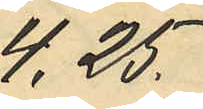4,25.
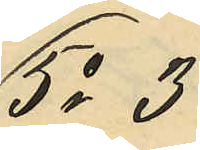5o 3
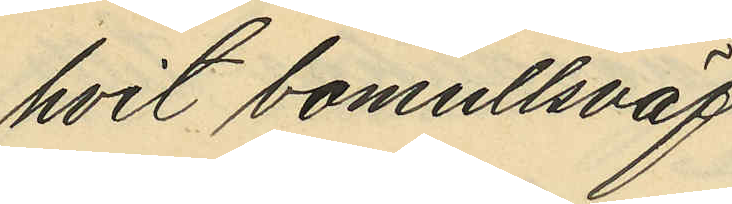hvit bomullsväf
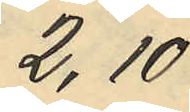2,10
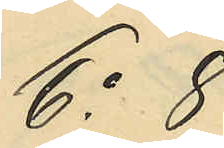6o 8
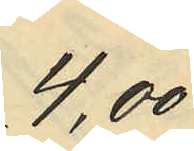4,00
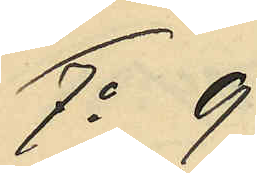7o 9
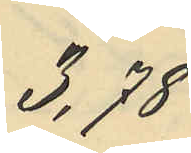3,78
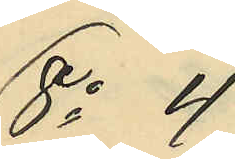8o 4
